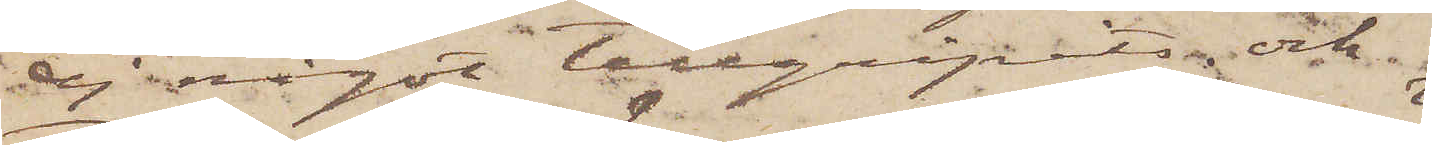ej något tillgripits; och
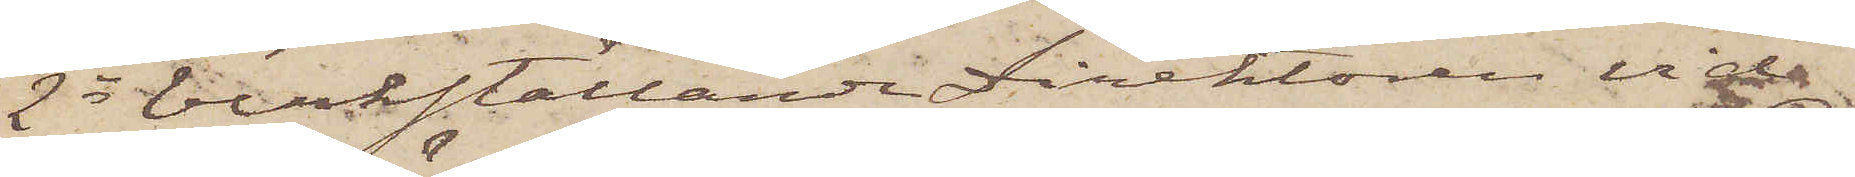2o Verkställande Direktören vid
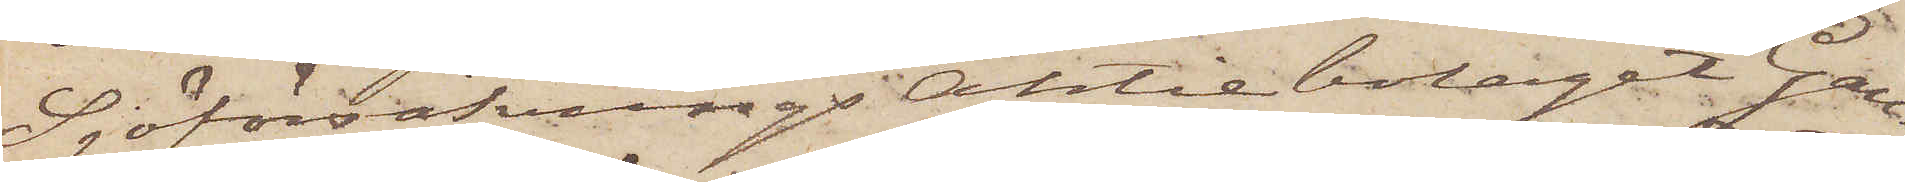SjöförsäkningsAktiebolaget Gau¬
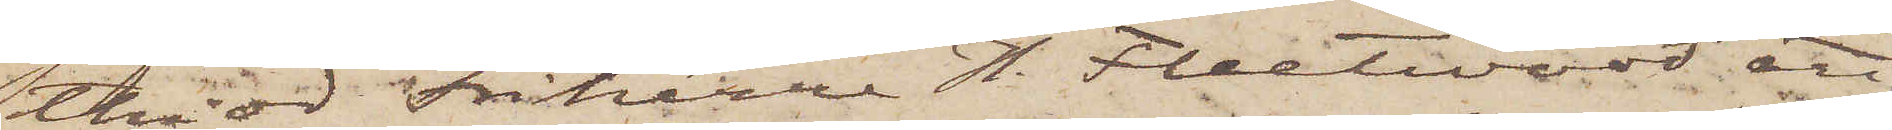tiod Friherre H. Fleetwood att
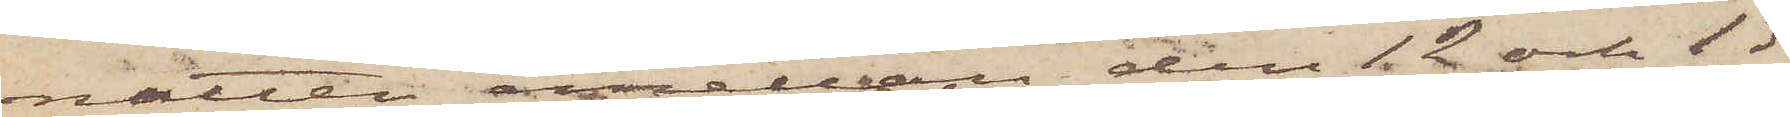natten emellan den 12 och 13
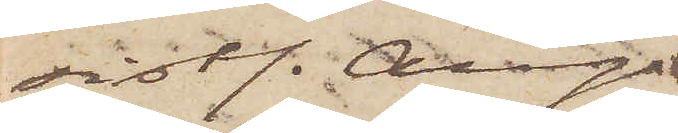sistl. Aug.
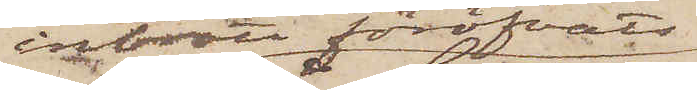inbrott föröfvats
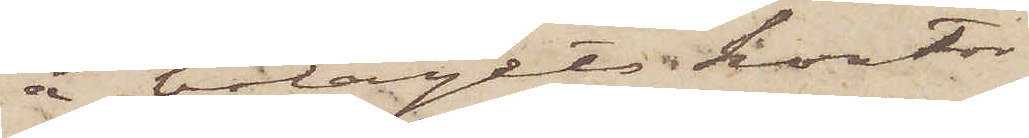å bolagets kontor i
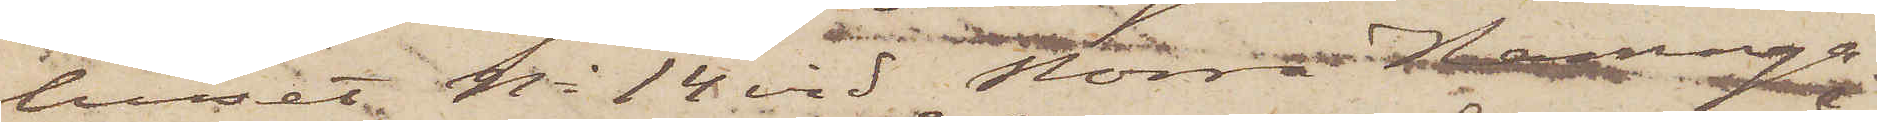huset No 14 vid Norra Hamnga¬
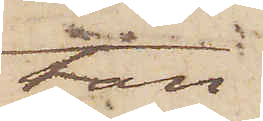tan,
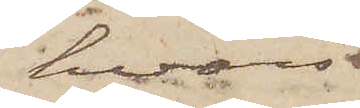hvars
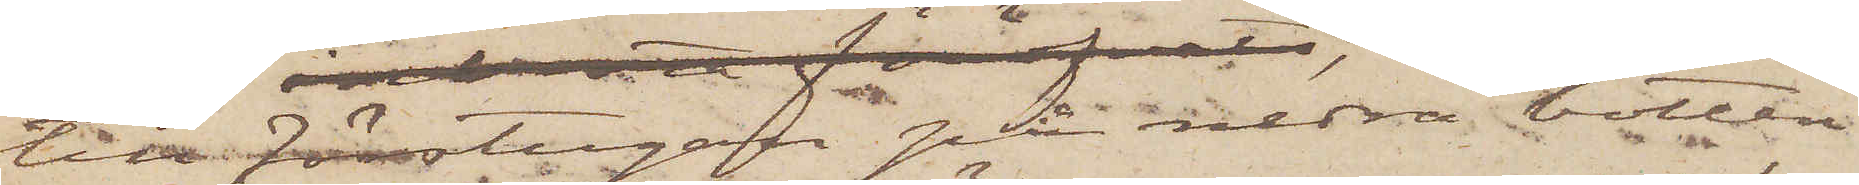till förstugan på nedra botten
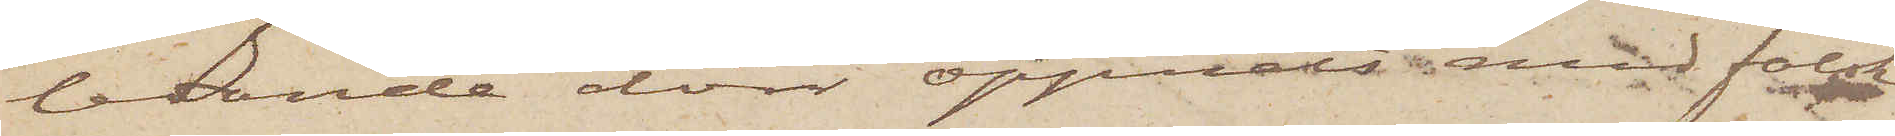ledande dörr öppnats med falsk
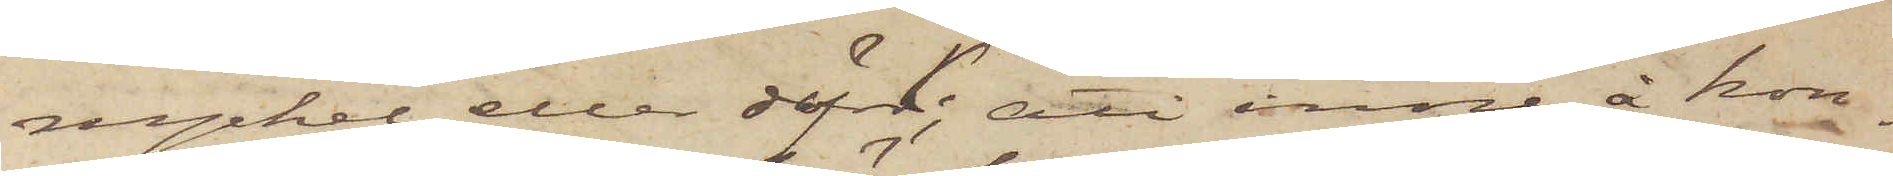nyckel eller dyrk; att inne å kon¬
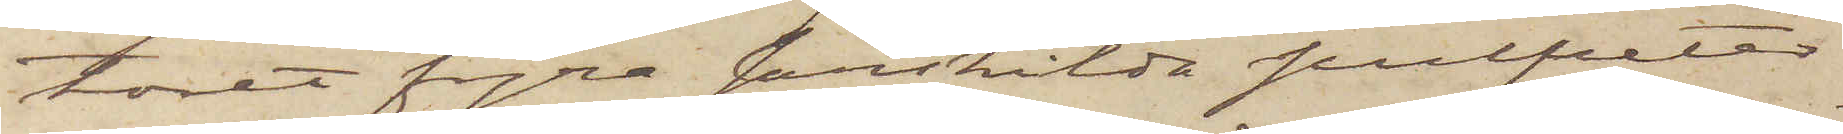toret fyra särskilda pulpeter
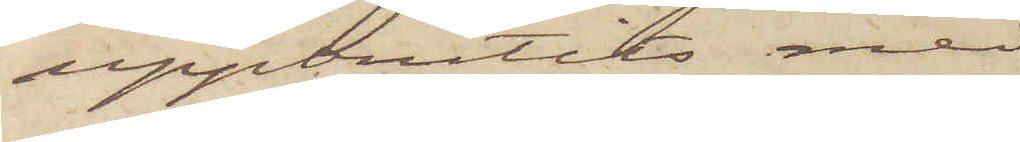uppbrutits med
